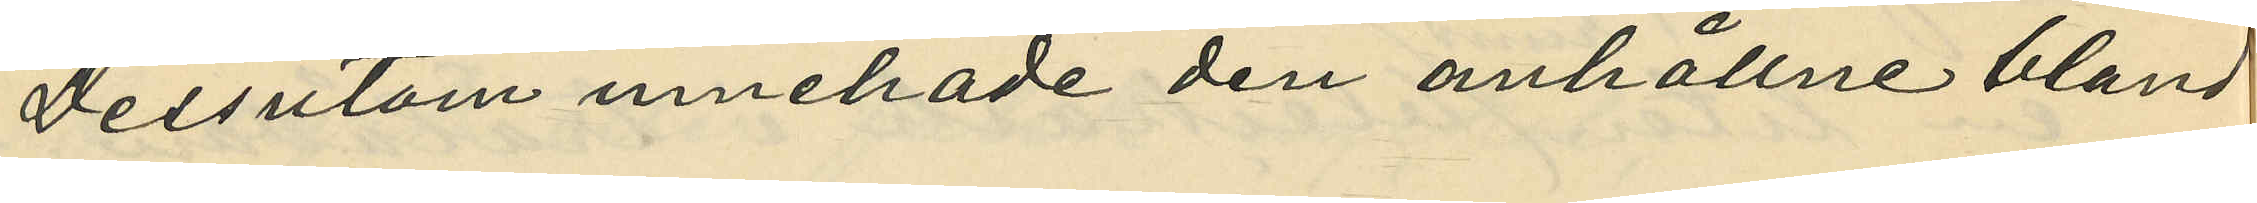Dessutom innehade den anhållne bland
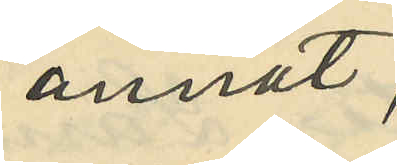annat,
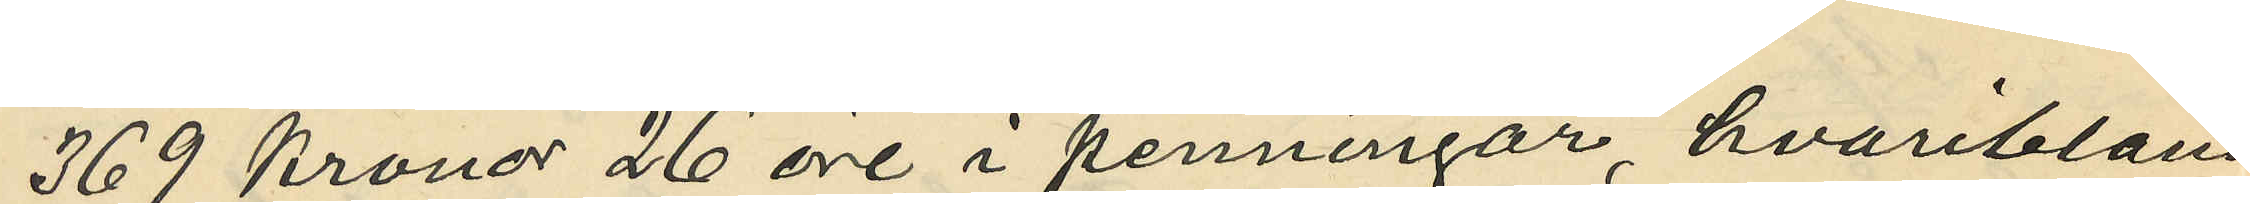369 Kronor 26 öre i penningar, hvaribland
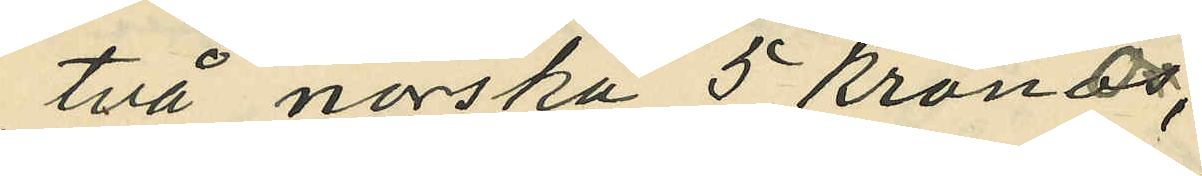två norska 5 krono¬
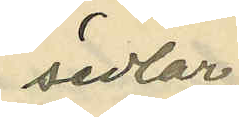sedlar,
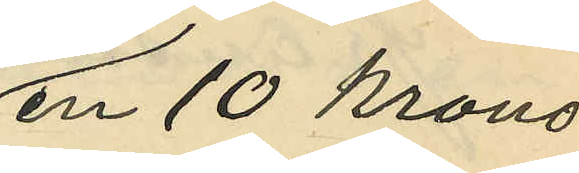en 10 krono¬
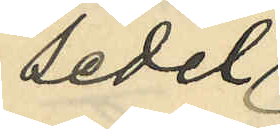sedel,
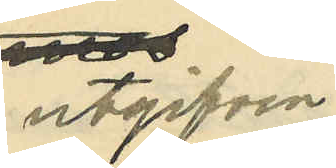utgifven
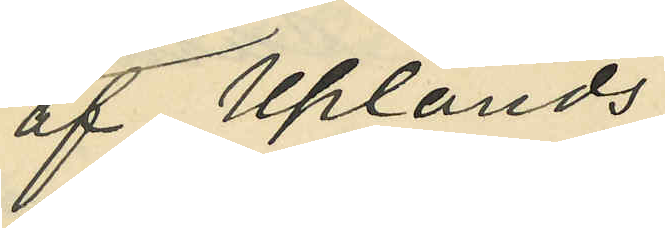af Uplands
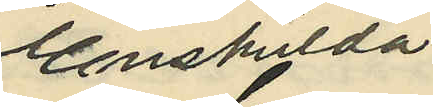Enskilda
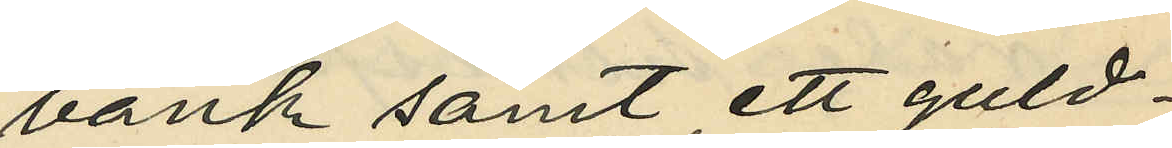bank samt ett guld¬
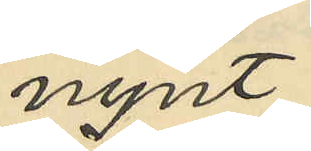mynt
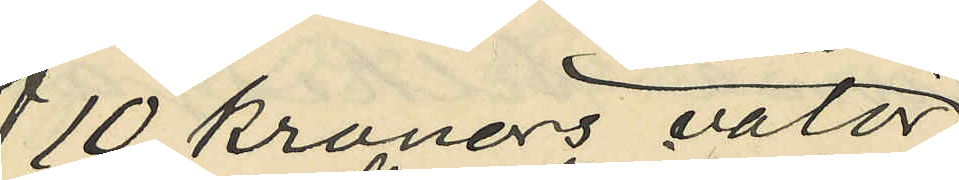10 kronors valör
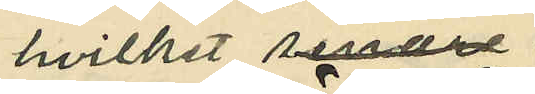hvilket 
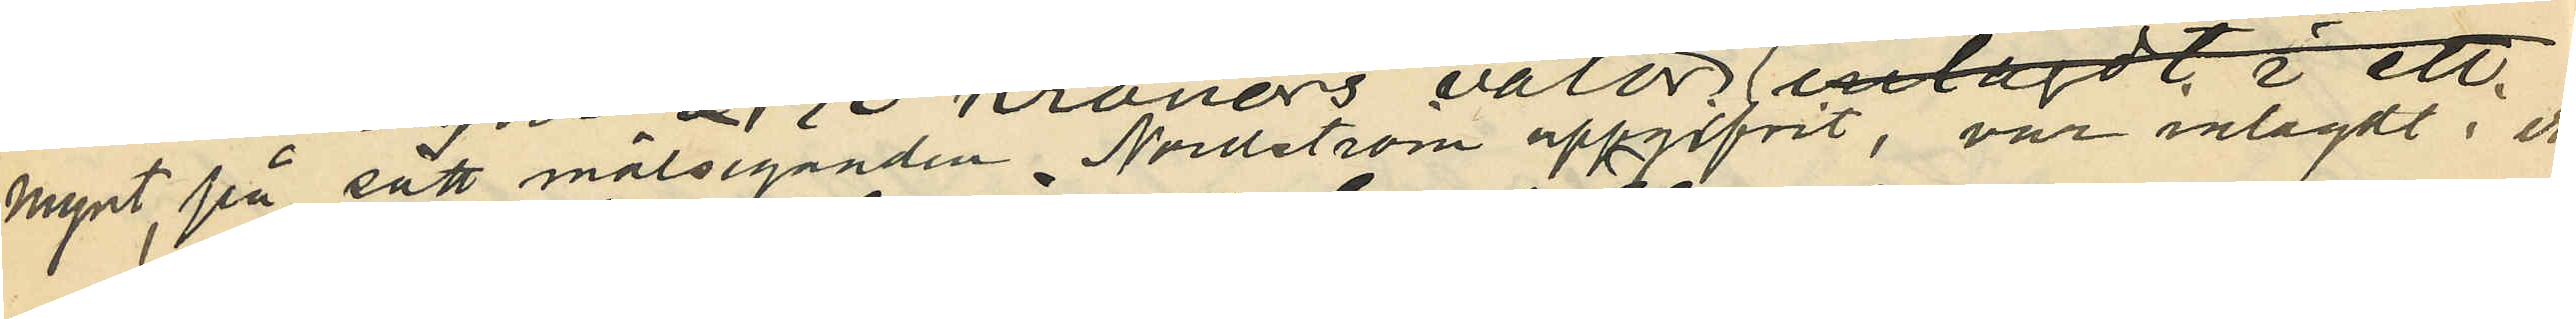mynt, på sätt målseganden  Nordström uppgifvit, var inlagdt i ett
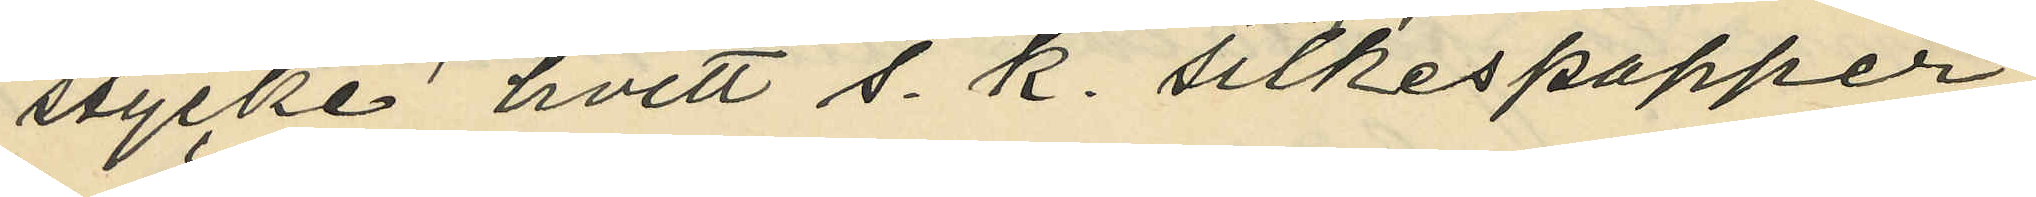stycke hvitt s. k. silkespapper,
